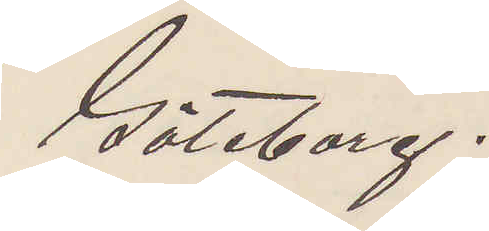Göteborg.
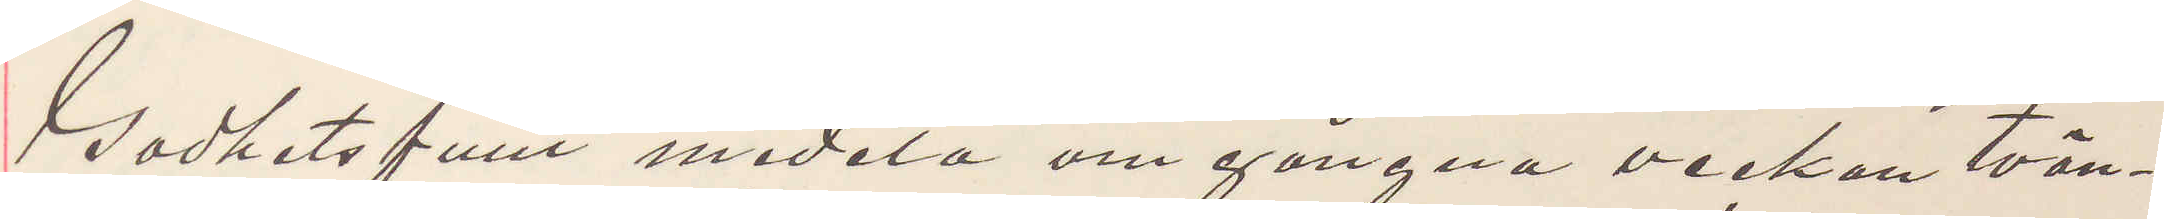Godhetsfullt meddela om gångna veckan tvän¬
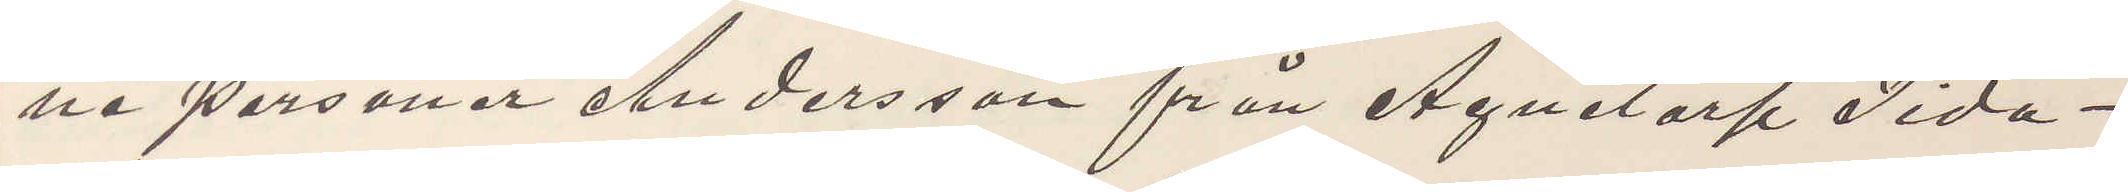ne personer Andersson från Agnetorp Tida¬
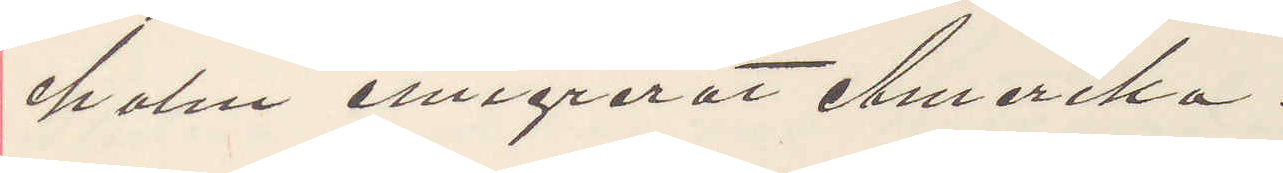holm emigrerat Amerika.
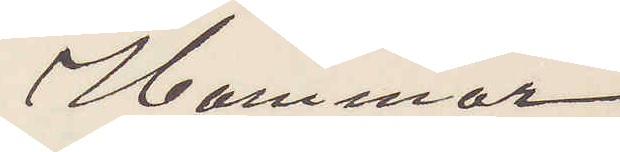Hammar
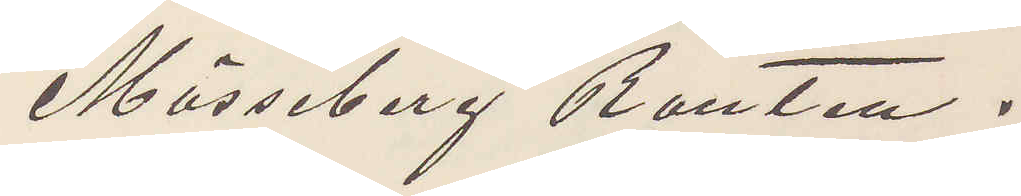Mösseberg Ranten.
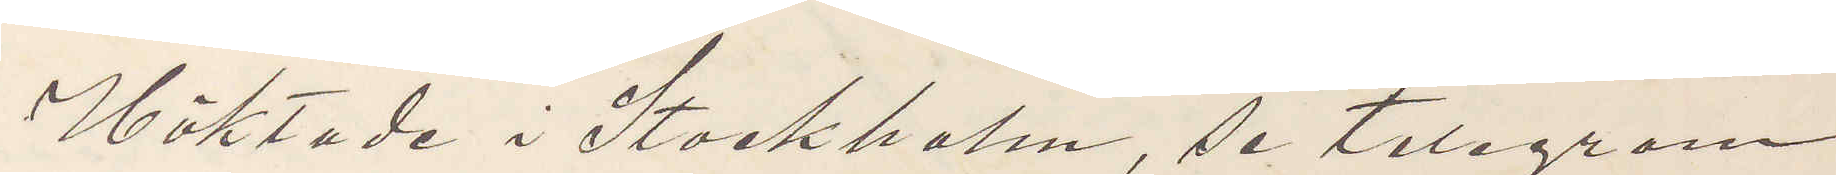Häktade i Stockholm se telegram
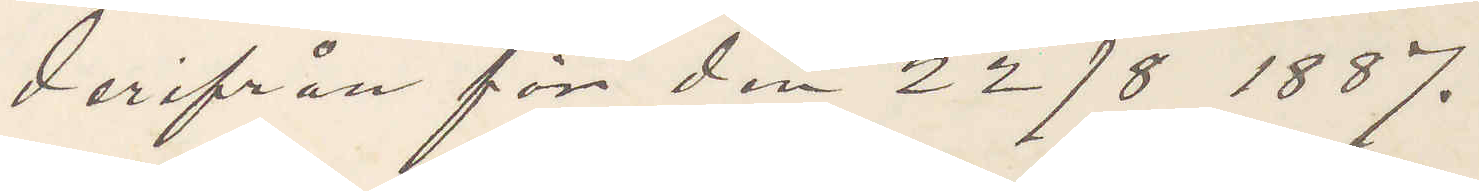derifrån för den 22/8 1887.
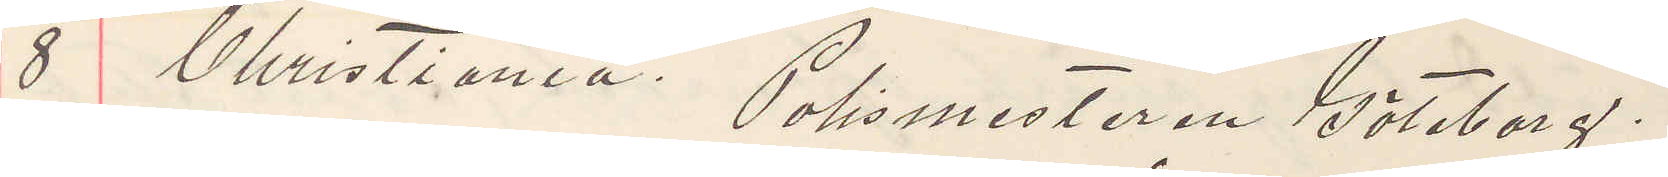8 Christiania. Polismästaren Göteborg.
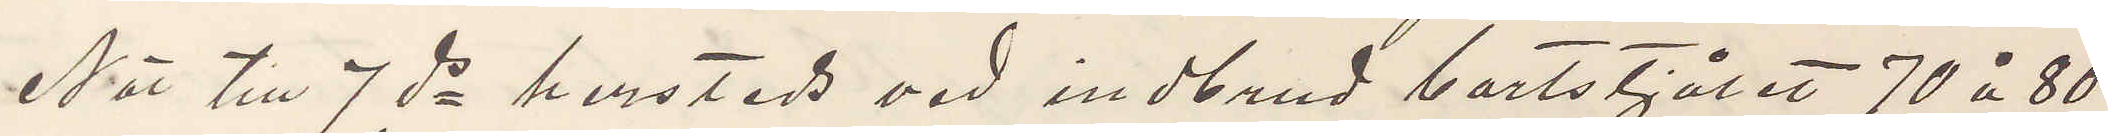När till 7 ds hersteds vid indbrud bortstjålet 70 à 80
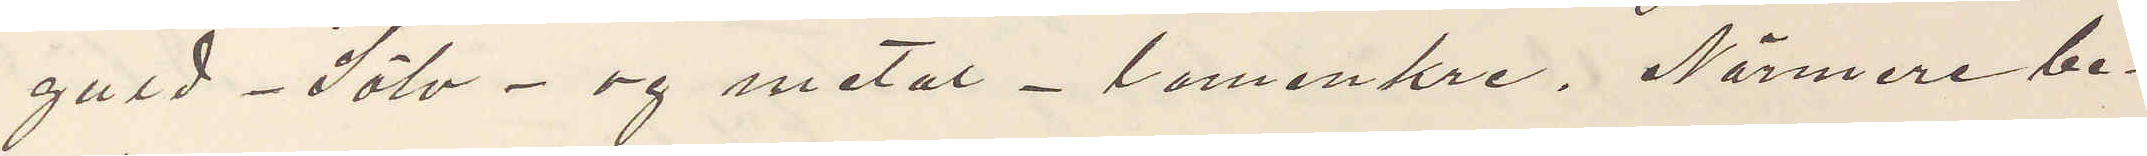guld - Sölv - og metal - lomenkre. Närmere be¬
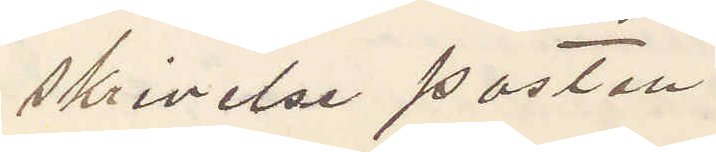skrivelse posten.
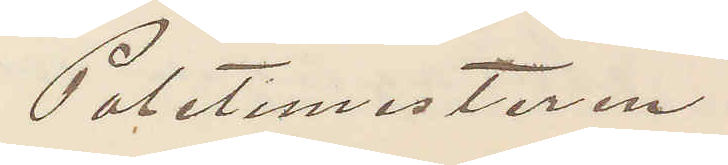Poletimesteren.
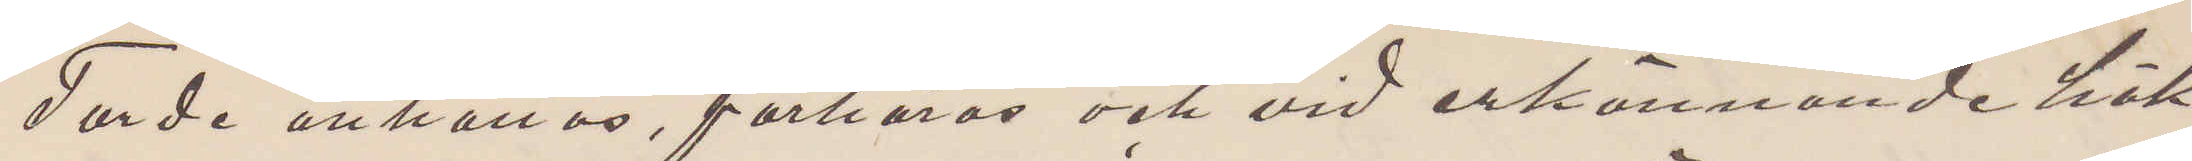Torde anhållas, förhöras och vid erkännande häk¬
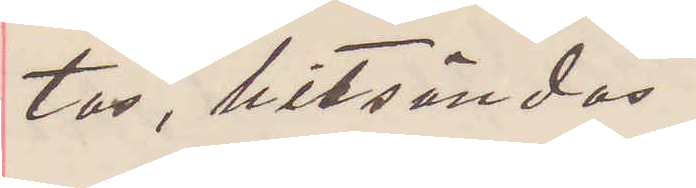tas, hitsändas.
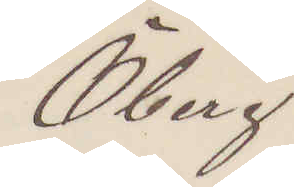Öberg
